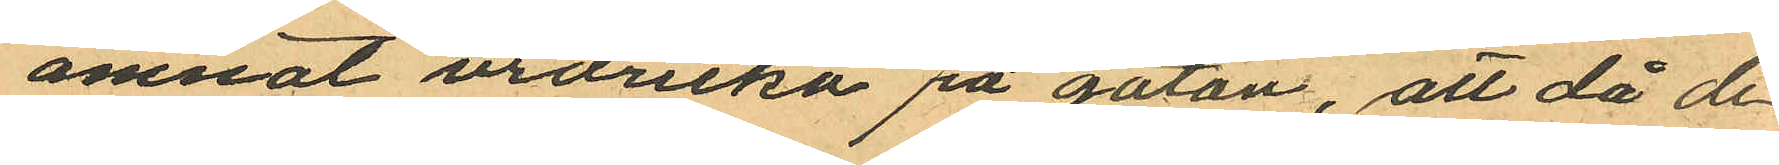ämnat urdricka på gatan, att då de
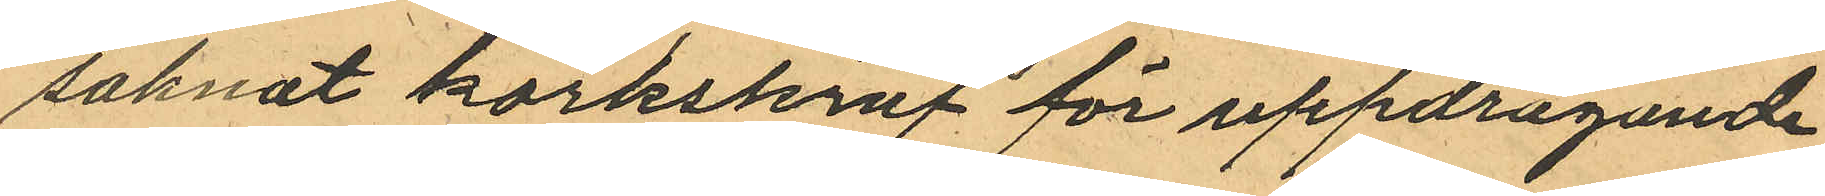saknat korkskruf för uppdragande
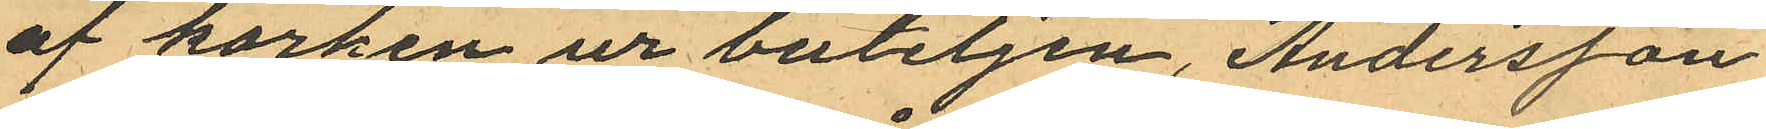af korken ur buteljen, Andersson
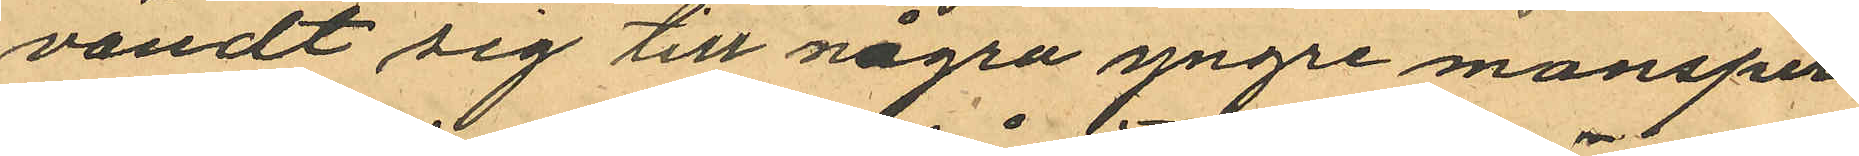vändt sig till några yngre mansper¬
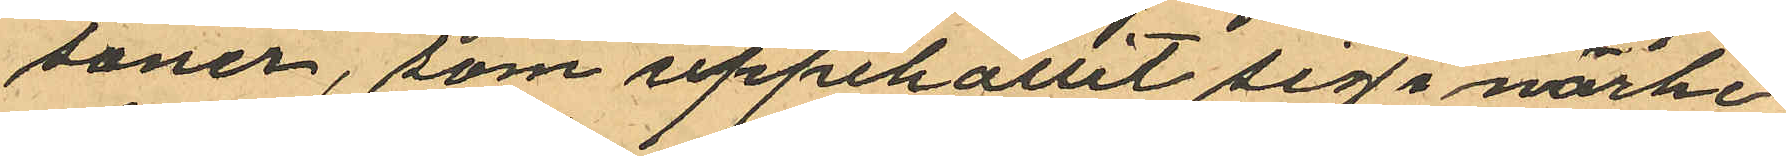soner, som uppehållit sig i närhe¬
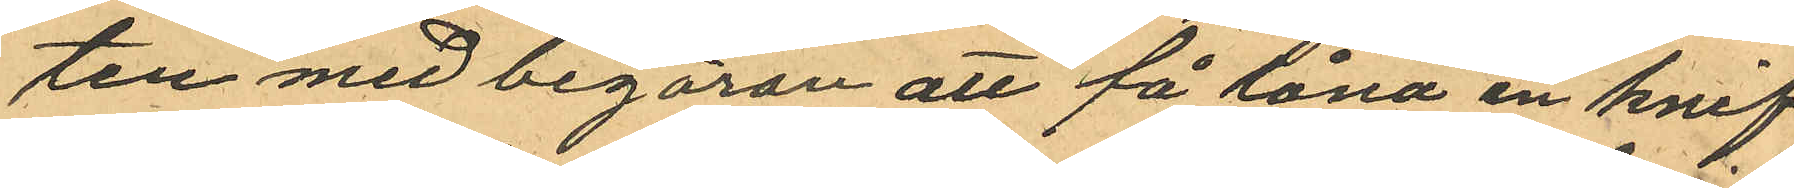ten med begäran att få låna en knif
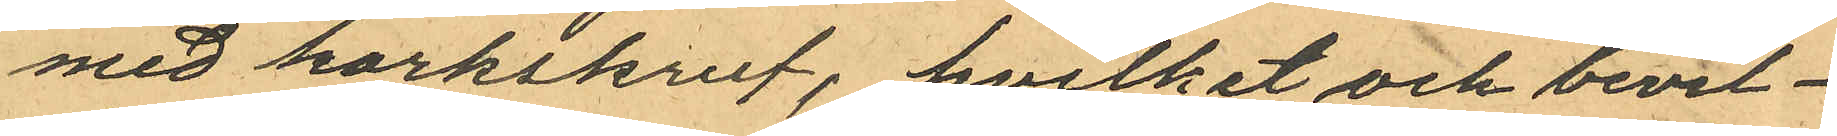med korkskruf, hvilket och bevil¬
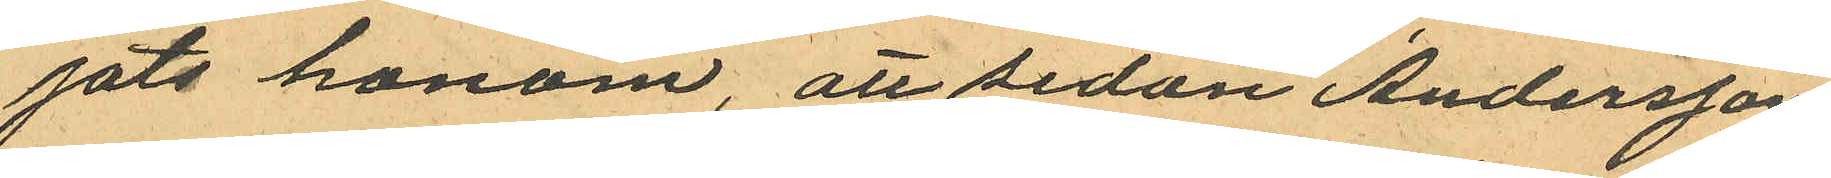jats honom, att sedan Andersson
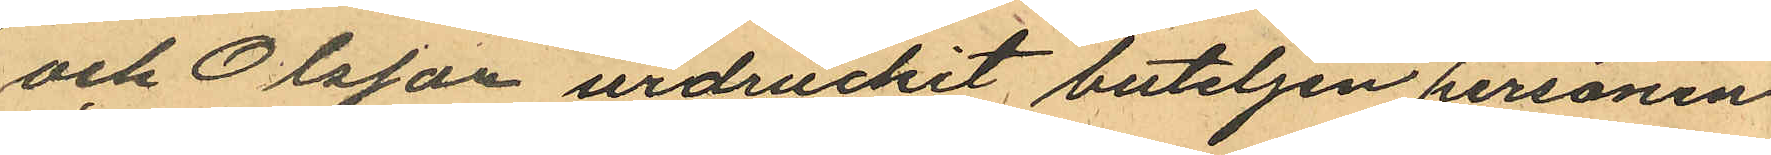och Olsson urdruckit buteljen personen
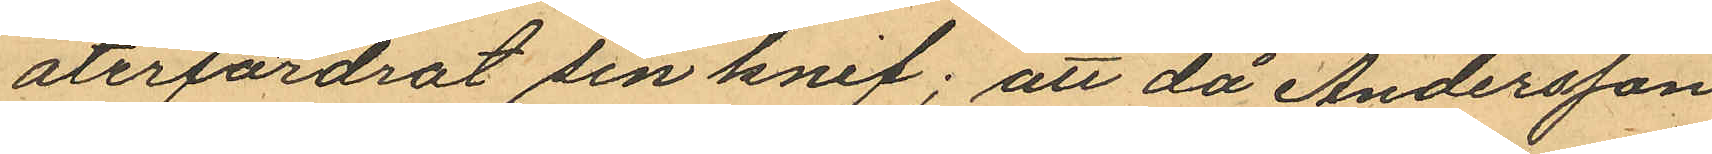återfordrat sin knif; att då Andersson
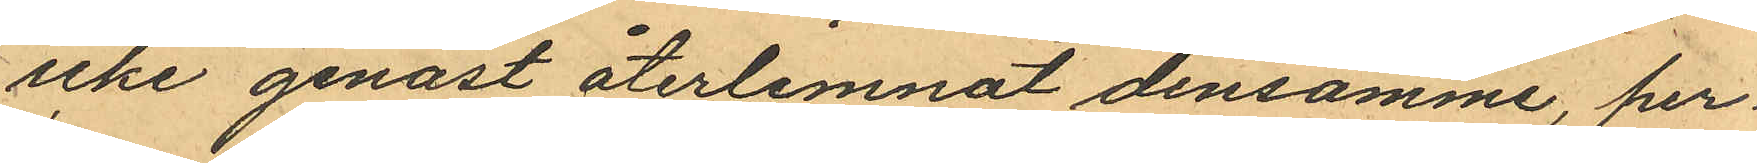icke genast återlemnat densamme, per¬
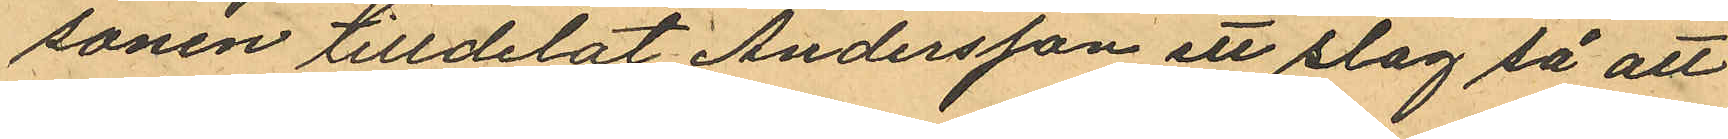sonen tilldelat Andersson ett slag så att
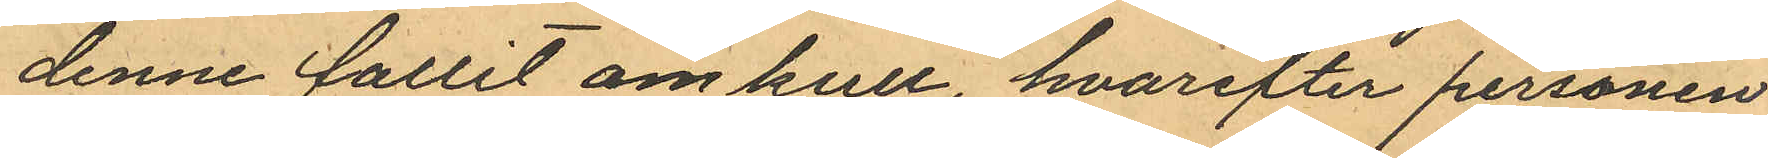denne fallit om kull, hvarefter personen
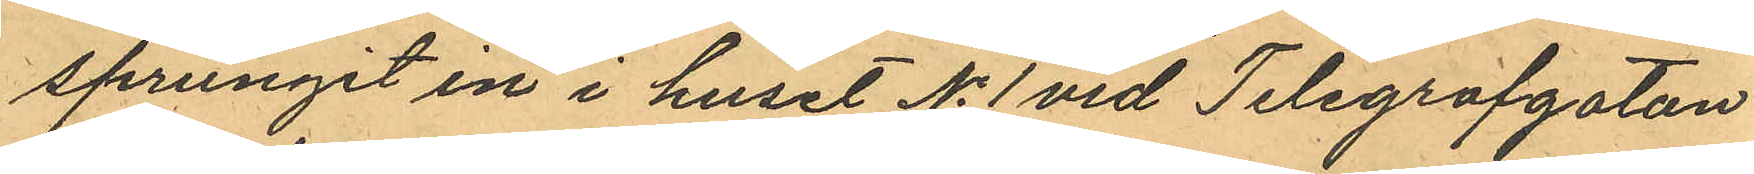sprungit in i huset No 1 vid Telegrafgatan
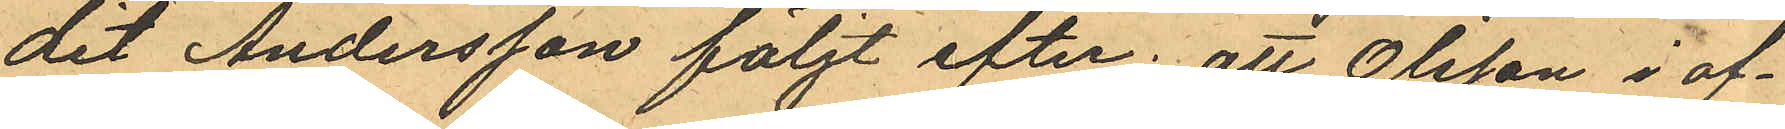dit Andersson följt efter; att Olsson i af¬
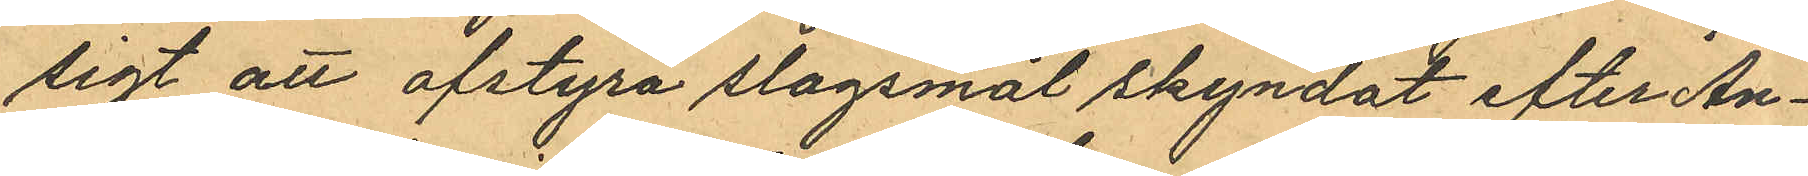sigt att afstyra slagsmål skyndat efter An¬
